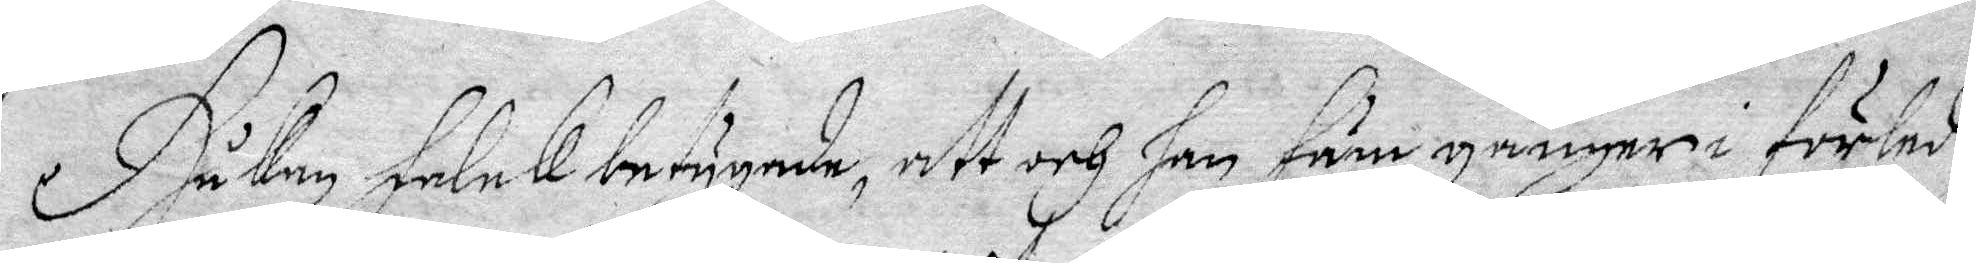Håkan Falck betygade att och han fäm gånger förled¬
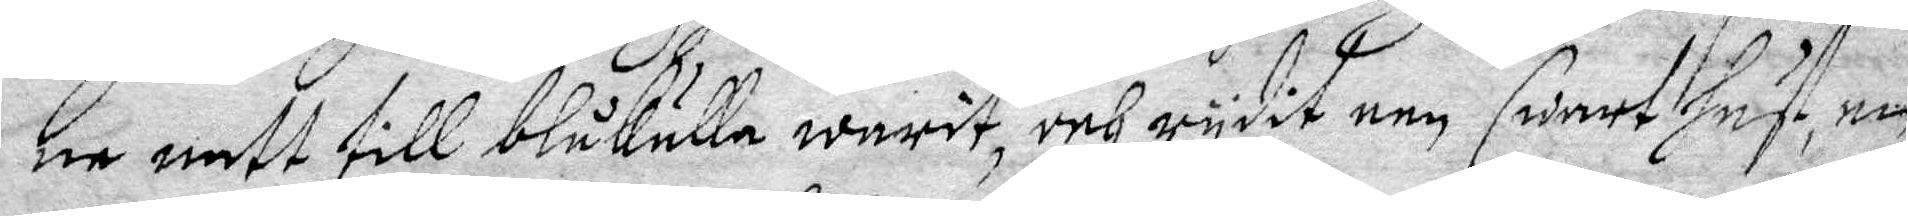ne natt till blåkulla warit, och rydit een swart Häst, en
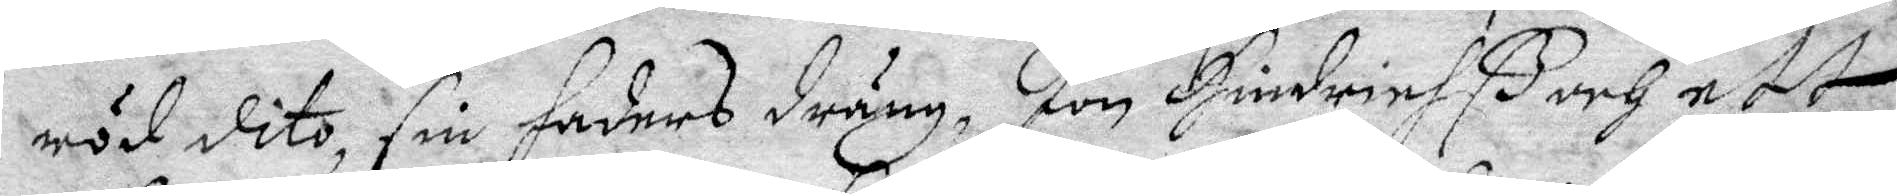röd dito, sin Faders dräng, Jon Hindrich och ett
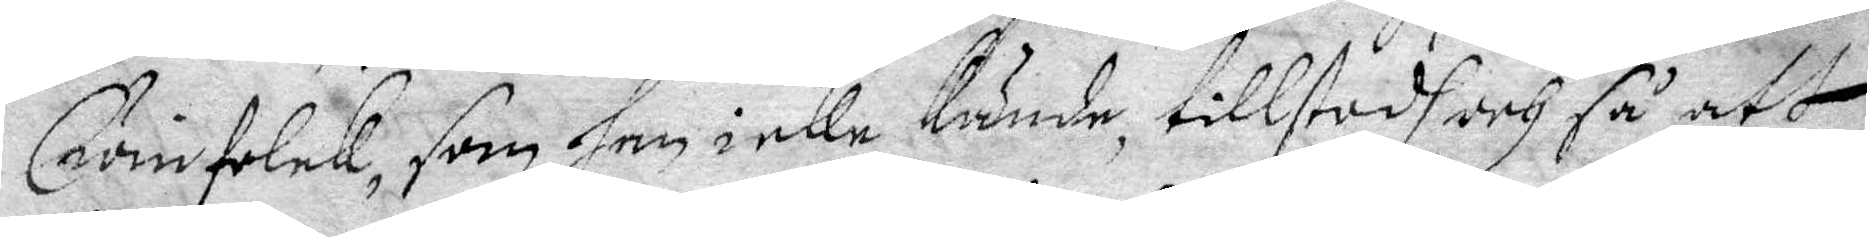Qwinfolck, som han icke kände, tillstodh och så att
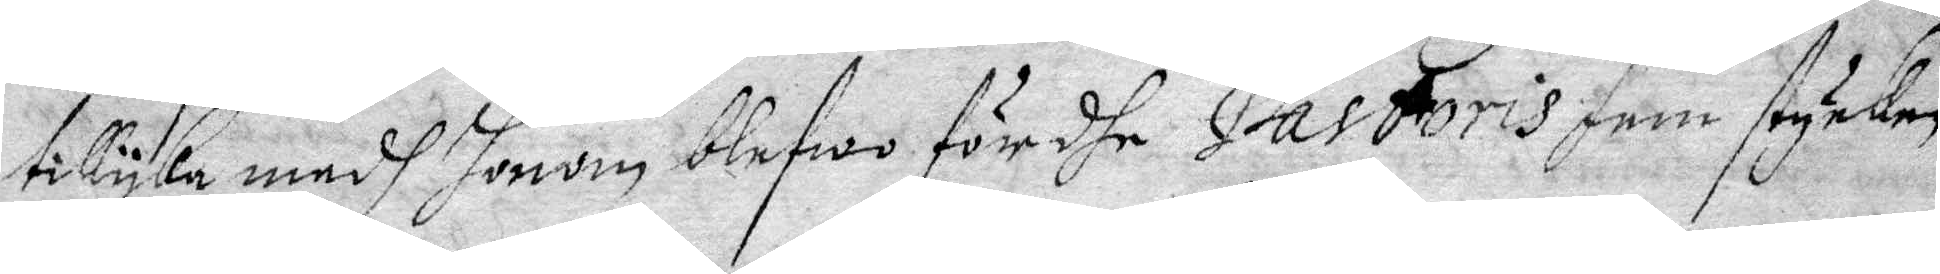tillyka medh honom blefwo fördhe Pastoris fem stycken
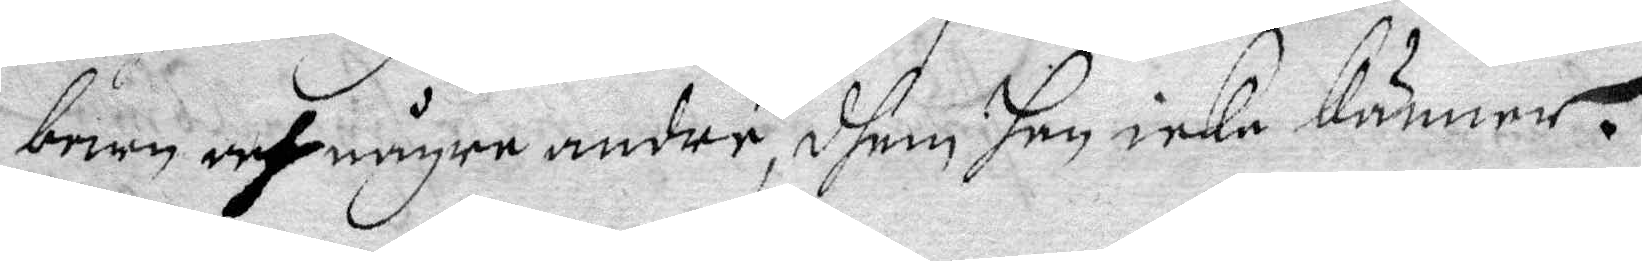barn och någre andre, dhem han icke känner.
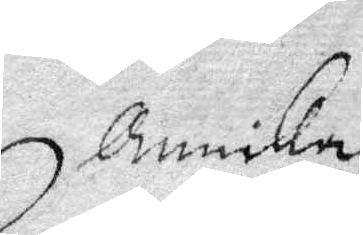Annika
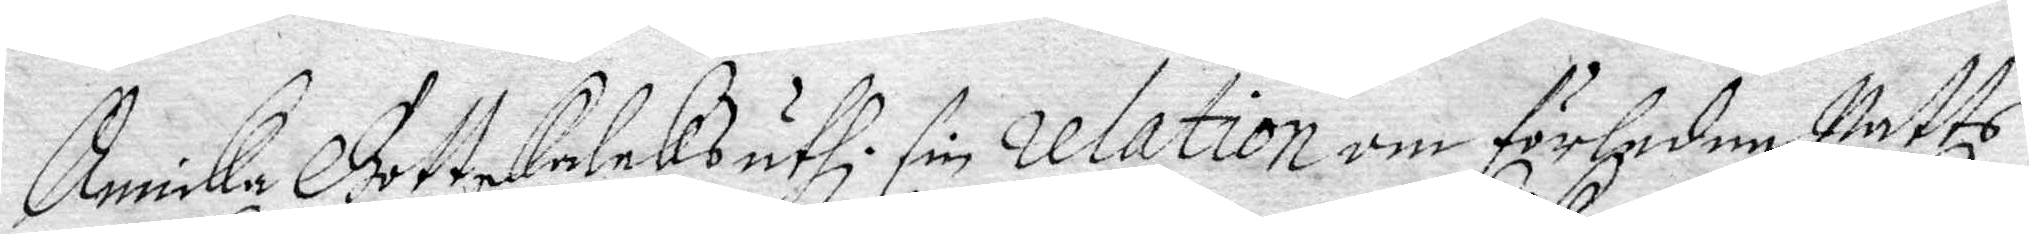Annika Gottskalcks uthi sin relation om förledne Natts
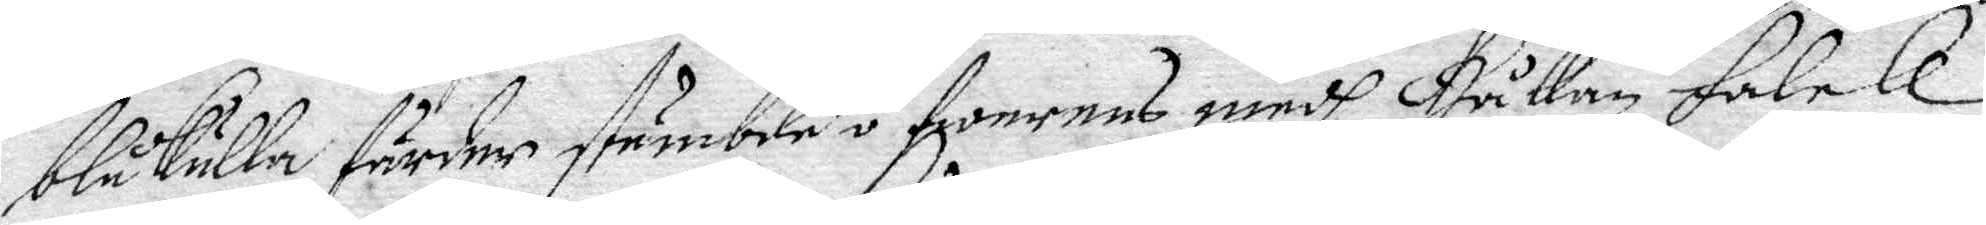blåkulla färder stämbde öfwerens medh Håkan Falck
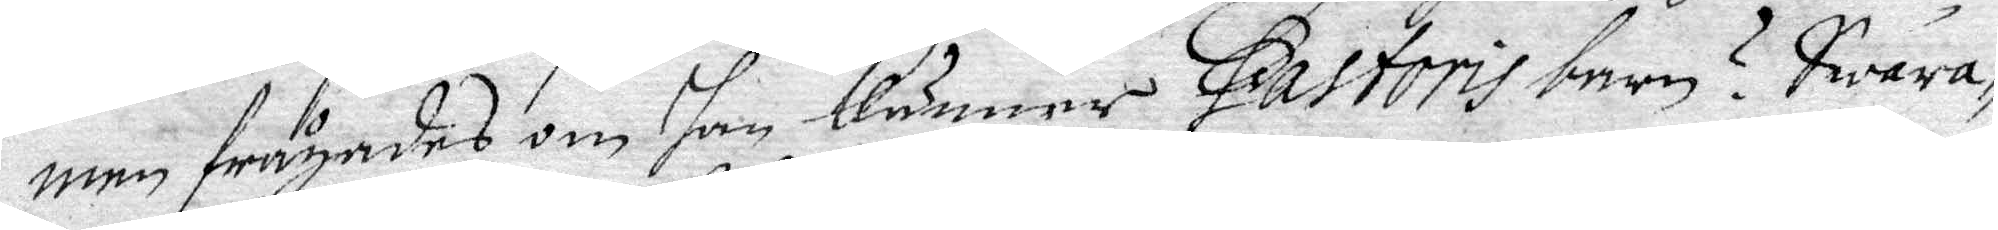men frågades om han känner Pastoris barn? Swara¬ 
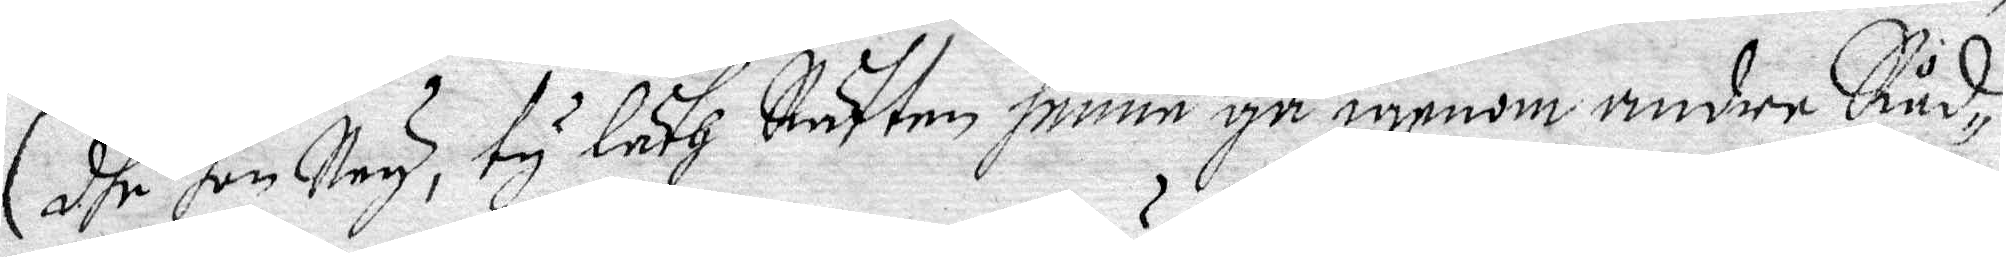dhe han Ney, ty Läth Rätten henne gå igenom andre Råd¬
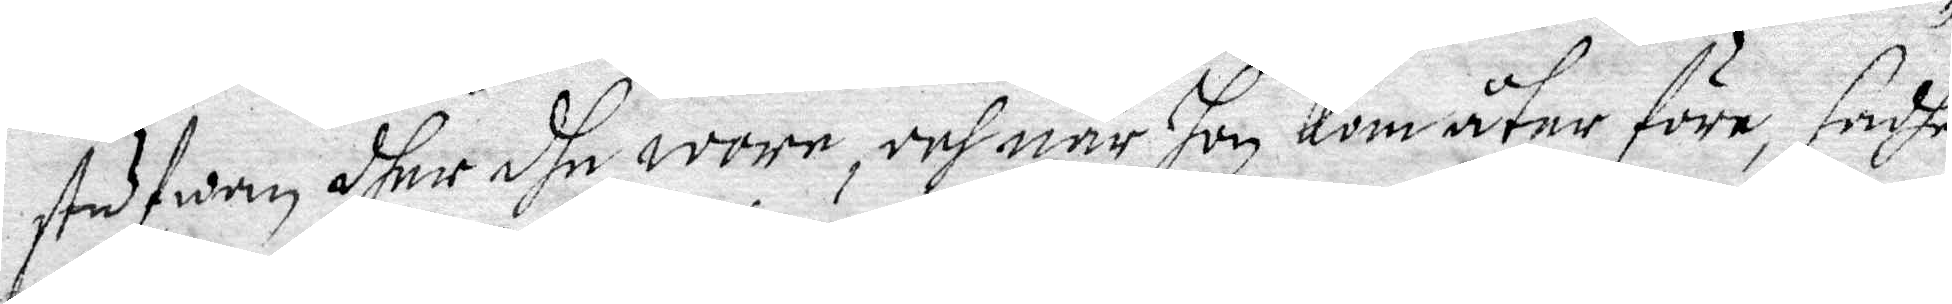stufwan dher dhe wore, och när hon kom åter före, sadhe
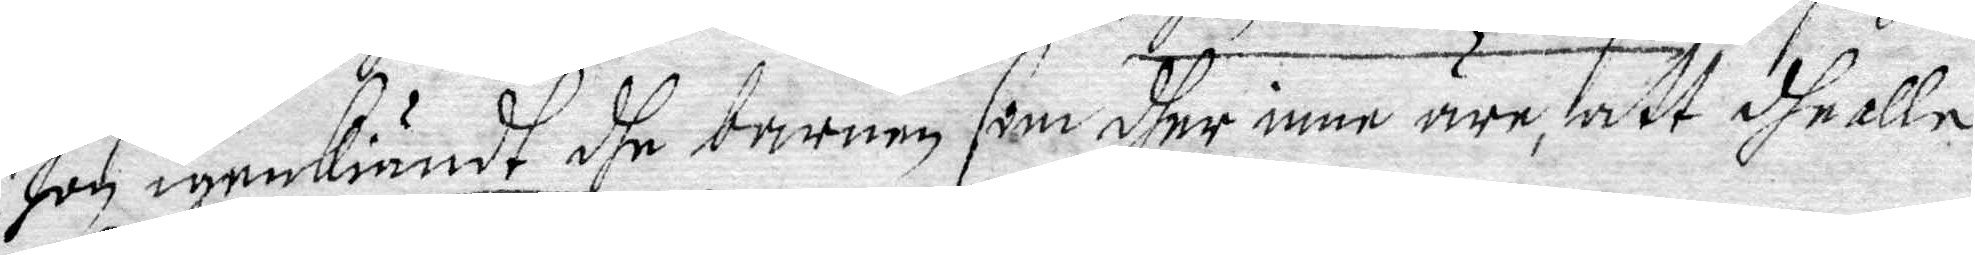hon igenkiändt dhe barnen som dher inne äre, att dhe alle
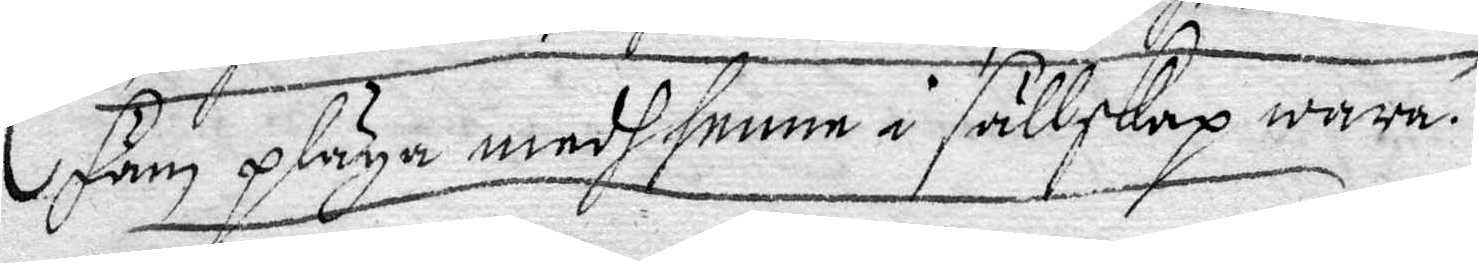fäm pläga medh henne i sällskap wara.
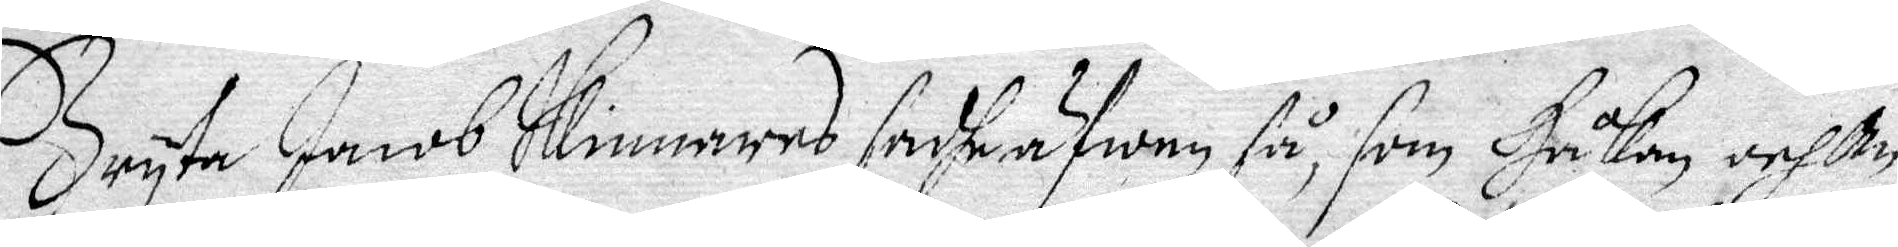Bryta Jacob Skinnares sadhe äfwen så, som Håkan och An¬
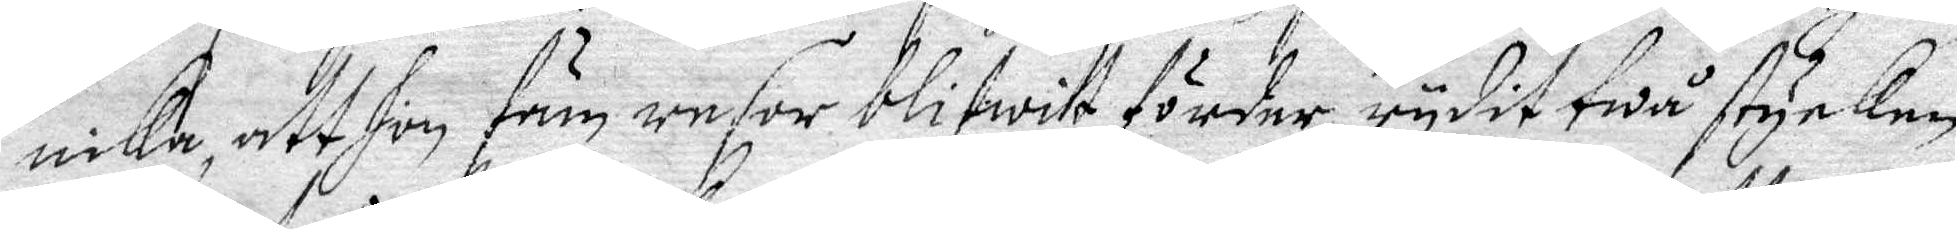nika att hon fäm resor blifwit förder, rydit twå stycken
